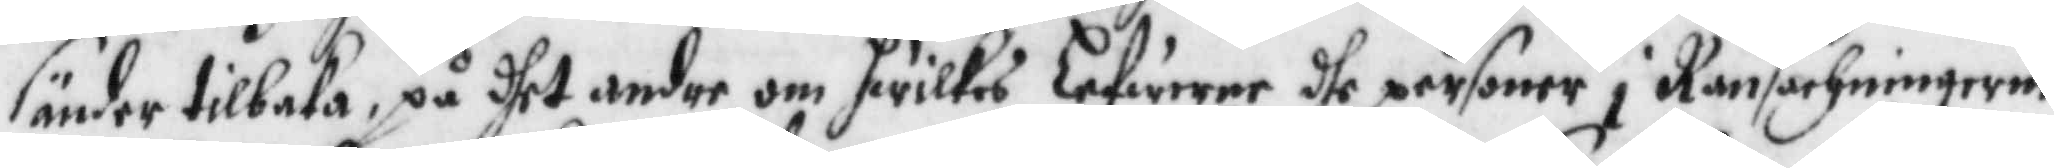sänder tilbaka, på dhet andre om hwilkes Lefwerne dhe personer i Ransachningerne
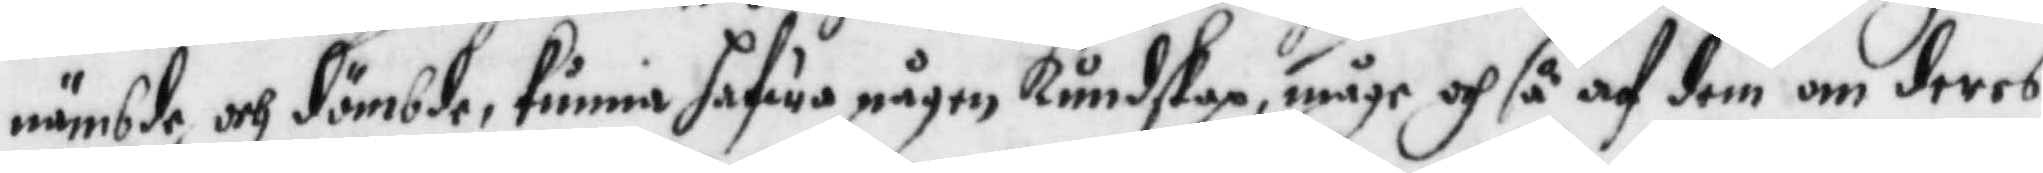nämbde och dömbde. kunna hafwa någon kundskap, måge och så af dem om deras
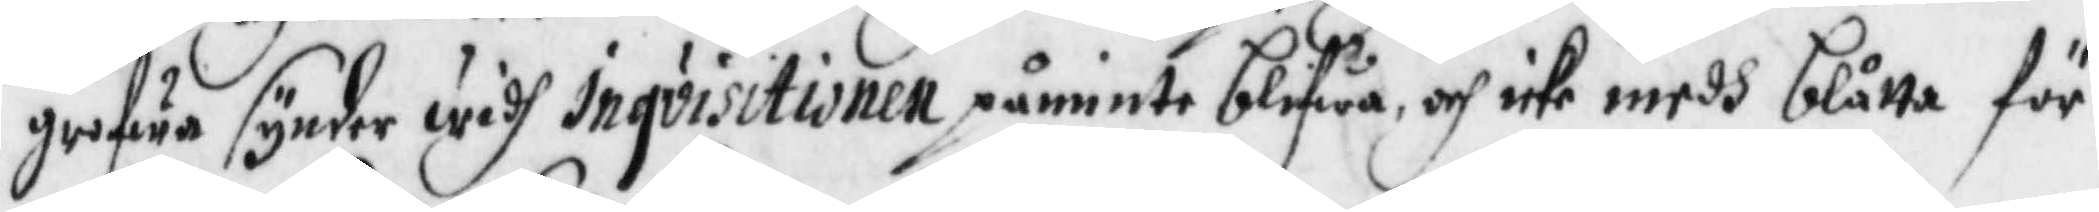grofwa synder widh inqvisitionen påminte blifwa, och icke medh blåtta för¬
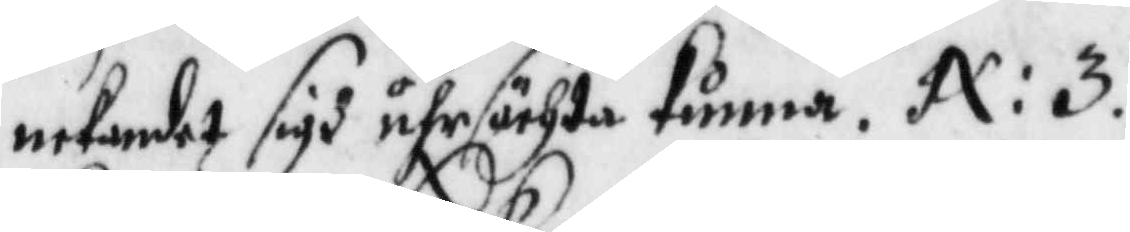nekandet sigh uhrsächta kunna. N: 3.
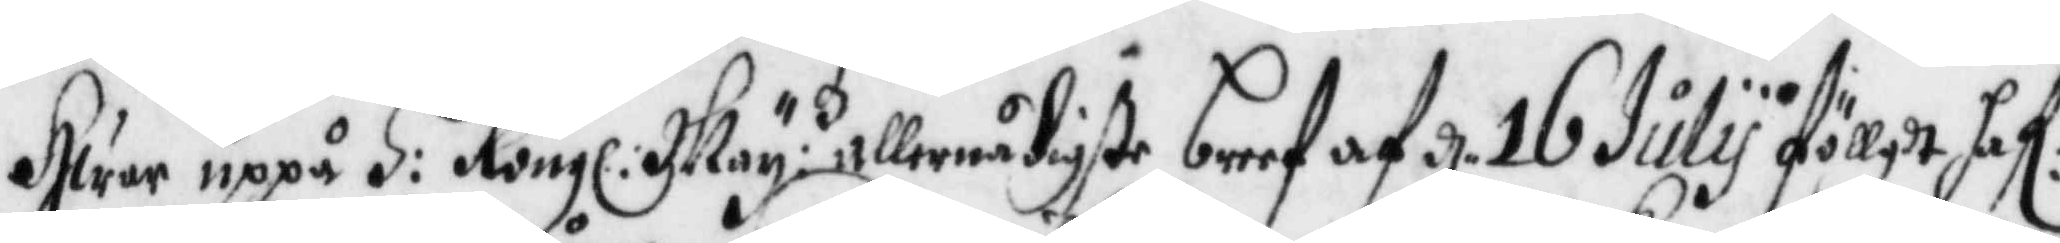Hwar uppå H: Kongl: May:tz allernådigste breef af d. 16 July föllgdt haf:er
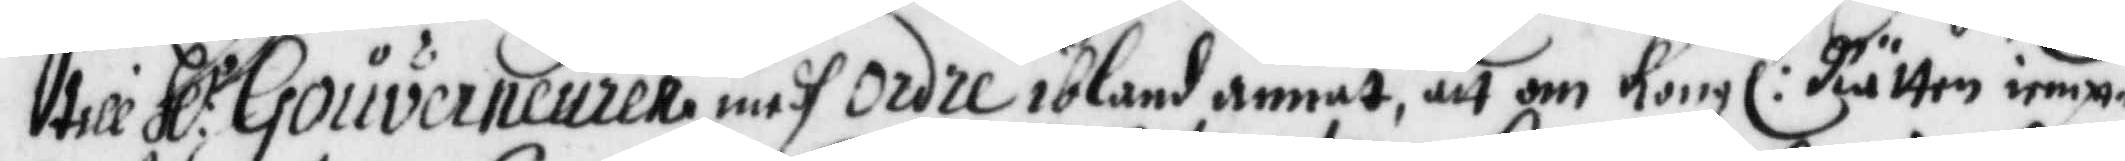till Hl:r Gouverneuren medh ordre ibland annat, att om Kongl: Rätten iemt¬
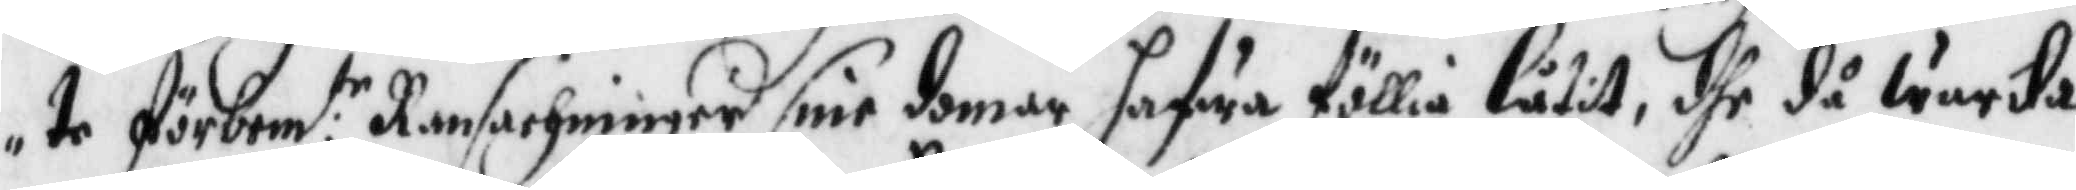te förbem:te Ransachninger sine domar hafwa föllia låtir, dhe då warta
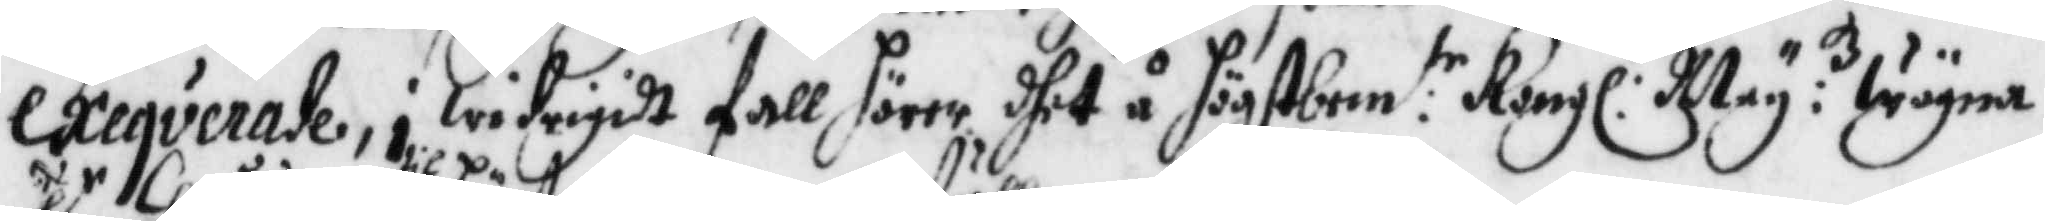exeqverade, i widrigdt fall hörer dhet å högstbem:te Kongl: May:tz wägna
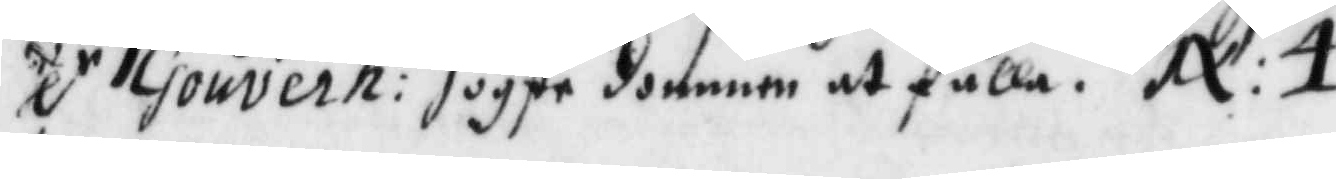H:r Gouvern: til dommen at fälla. N:4.
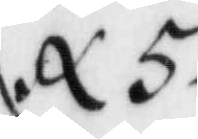N. 5.
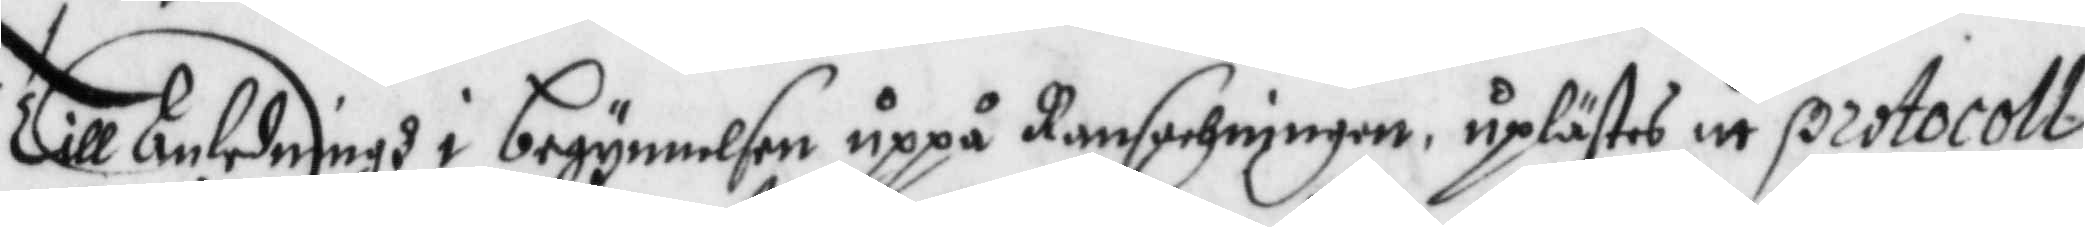Till Anledningh i begynnelsen uppå Ransachningen, uplästes itt protocoll
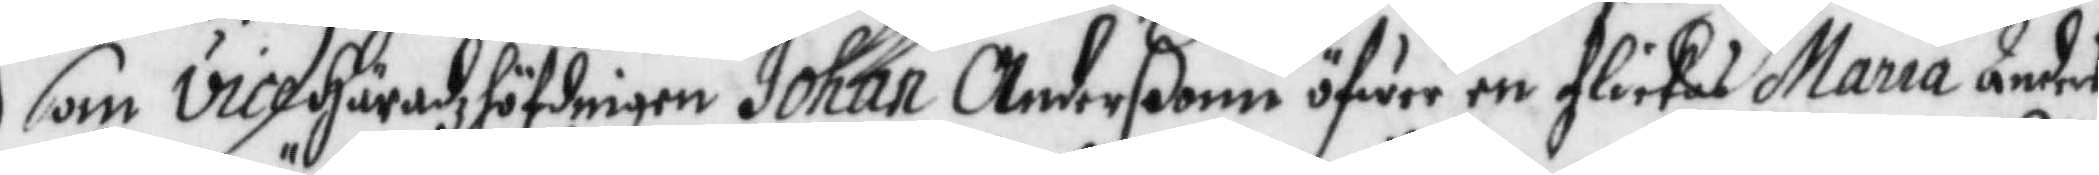som vice Häradzhöfdingen Johan Anderßonn öfwer en flickas Maria Anders¬
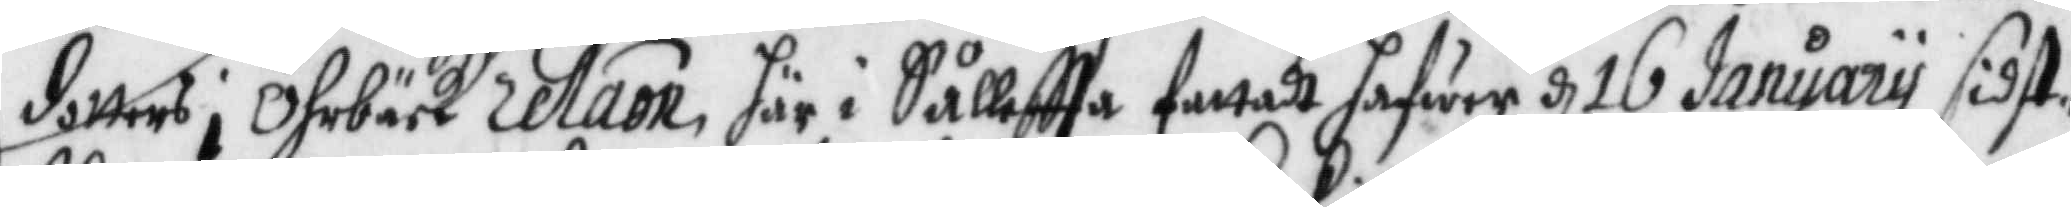dotters i Öhrbäck relaon här i Sålleftta fattadt hafwer d 16 January sidst¬
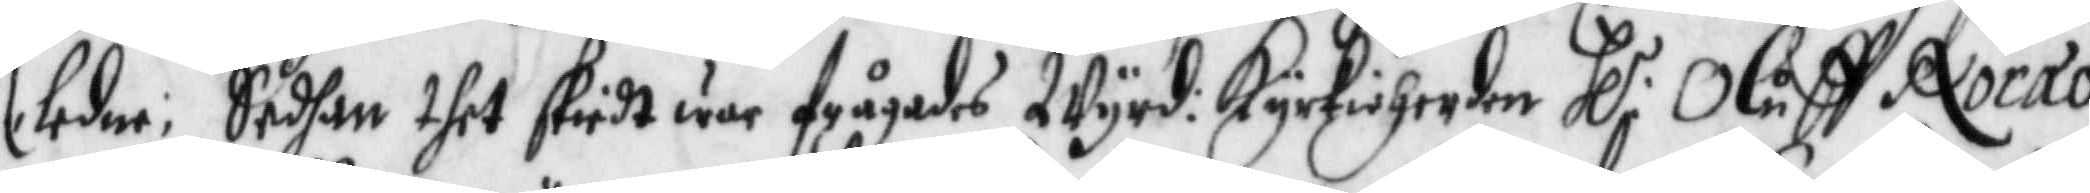ledne; Sedhan dhet skiedt war frågades Wyrd: Kyrkioherden Hl: Oluff Norao
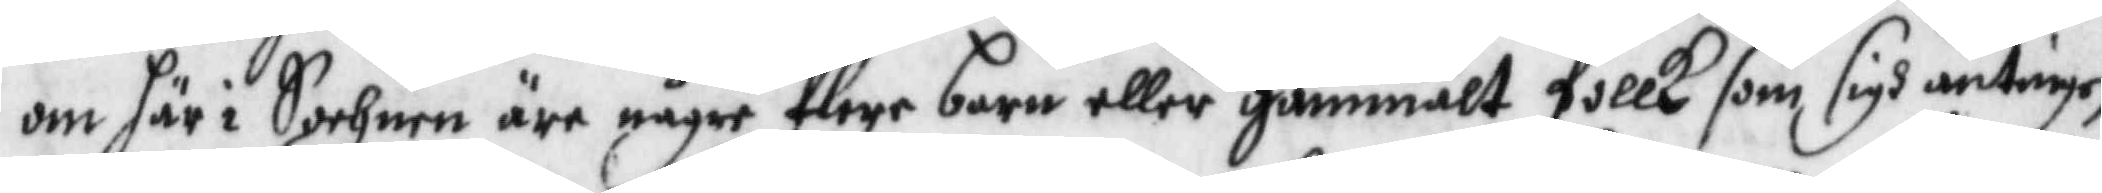om här i Sochnen äre någre flere barn eller gammalt follk som sigh antingen
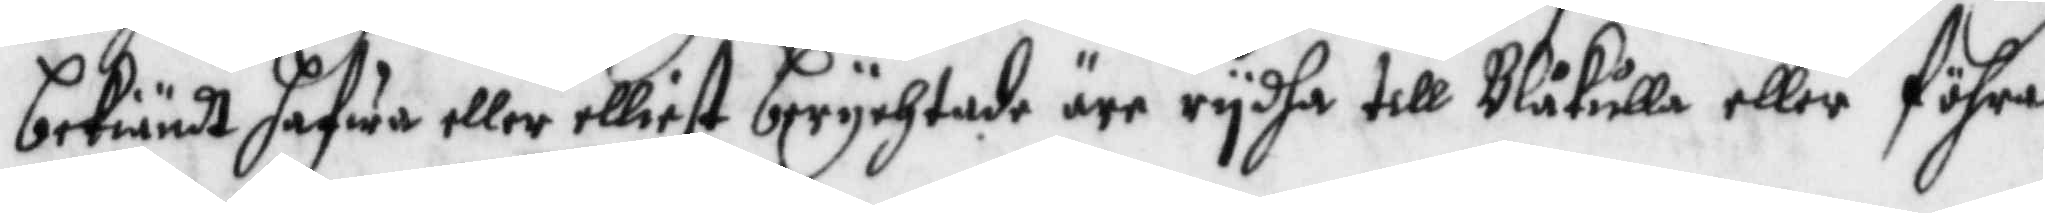bekiändt hafwa eller elliest berychtade äre rydha till Blåkulla eller föhra
